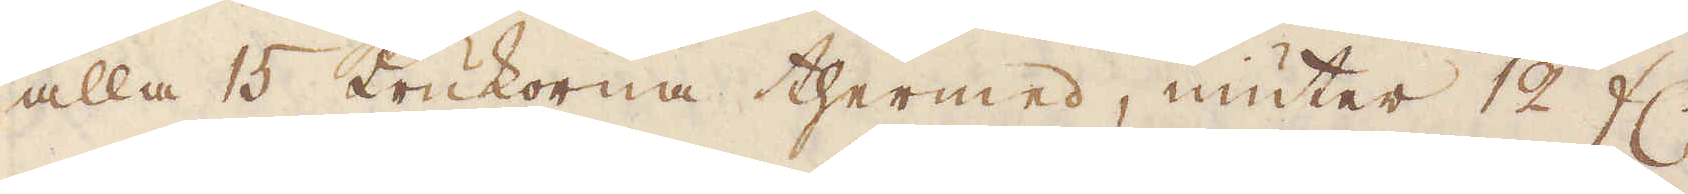alla 15 krukorna thermed, niuter 12 fl.
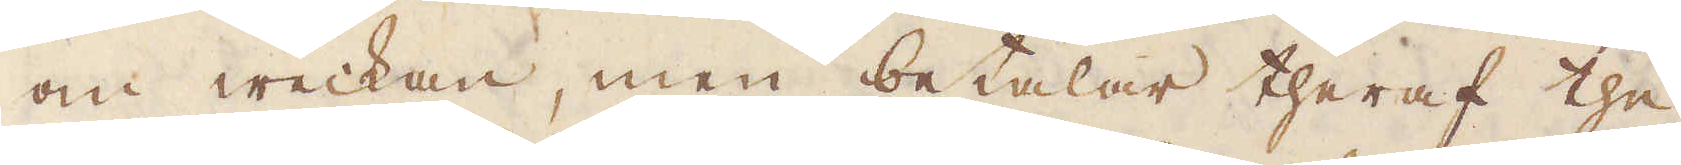om weckan, men betalar theraf the
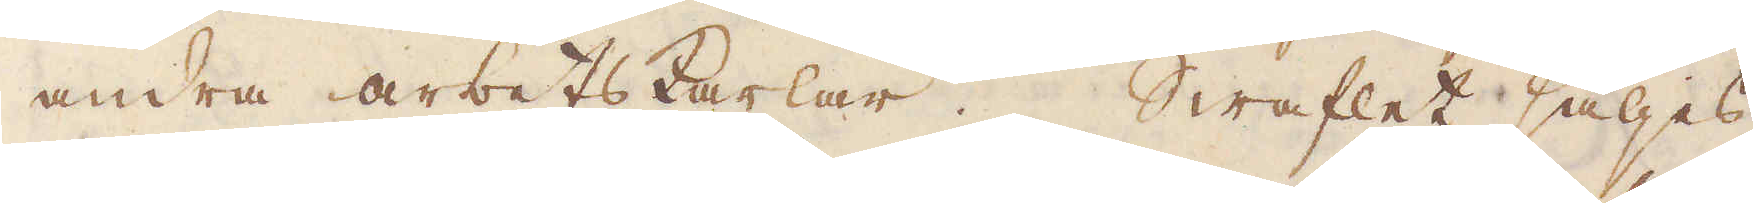andra arbetskarlar. Swaflet säljes
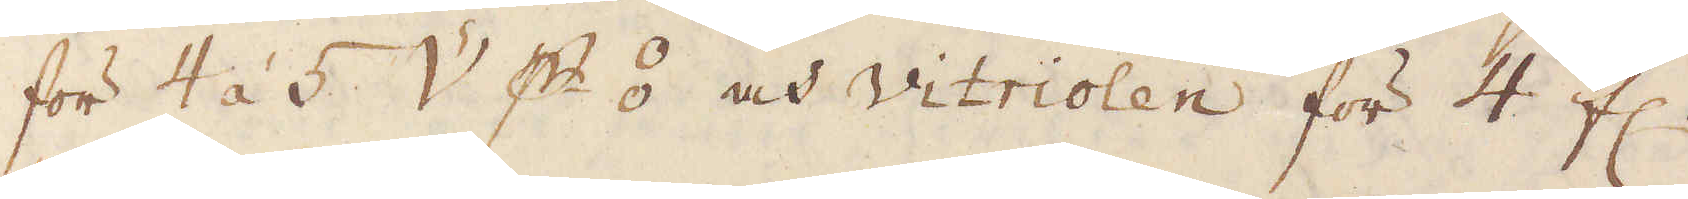för 4 á 5 V p ⦂ och Vitriolen för 4 fl.
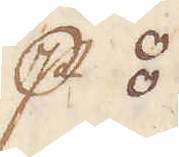p ⦂.
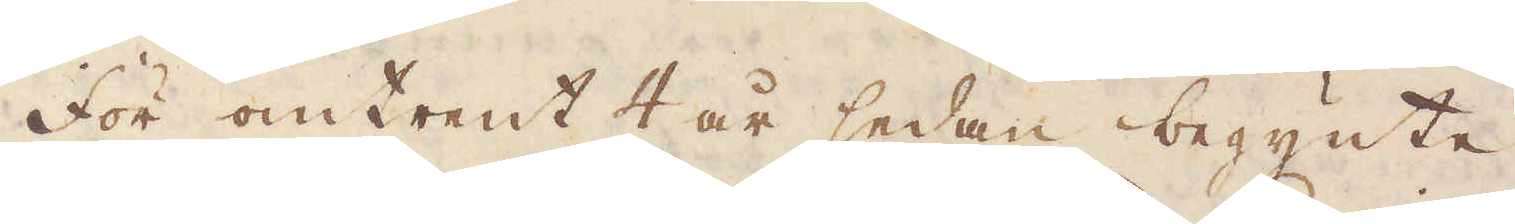För omtrent 4 år sedan begynte
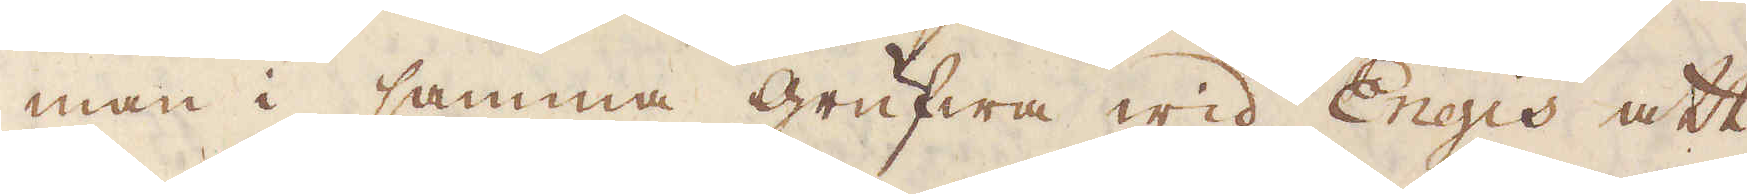man i samma grufwa wid Engis att
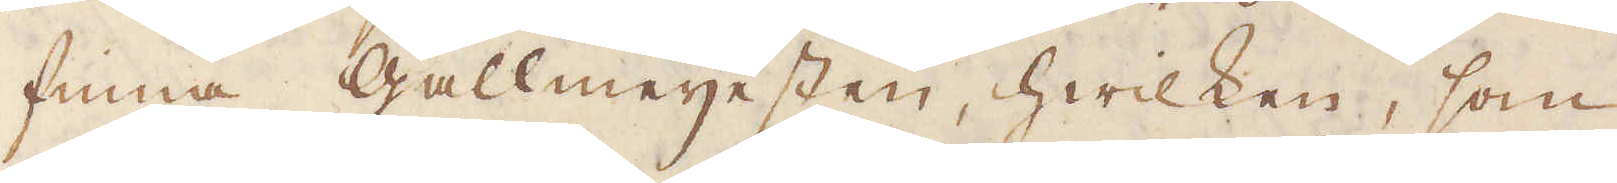finna Gallmeijesten, hwilken, som
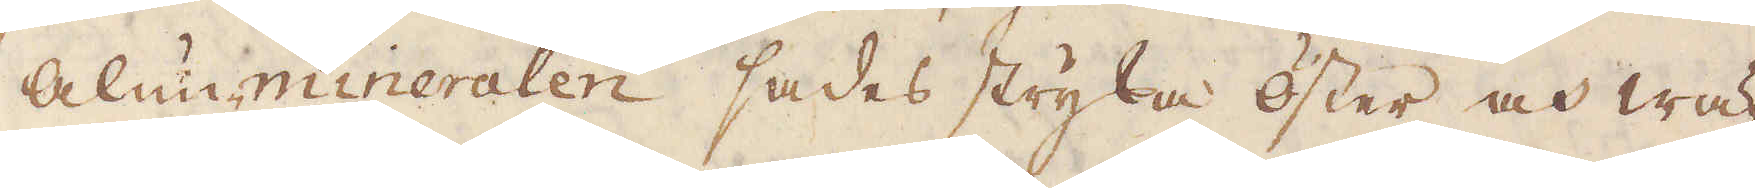alunmineralen sades stryka öster och wä-
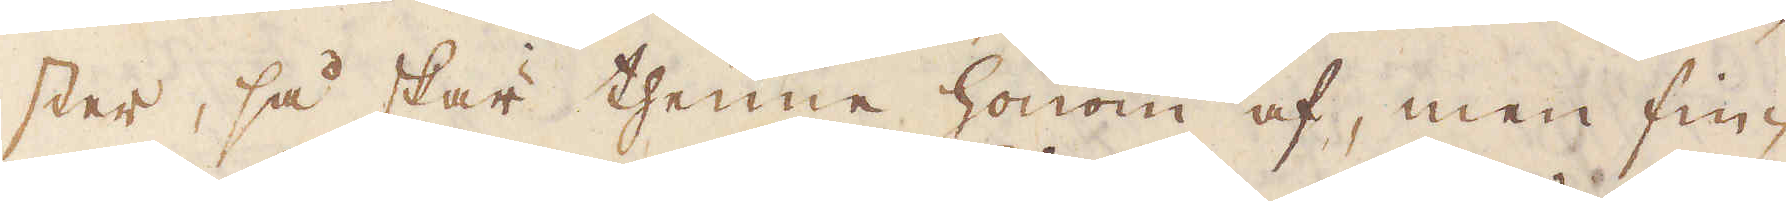ster, så skar thenne honom af, men fin-
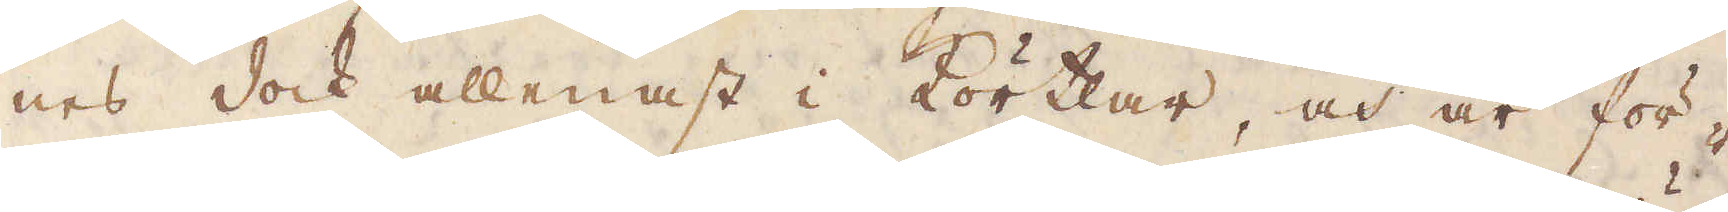nes dock allenast i Körtlar, och är för-
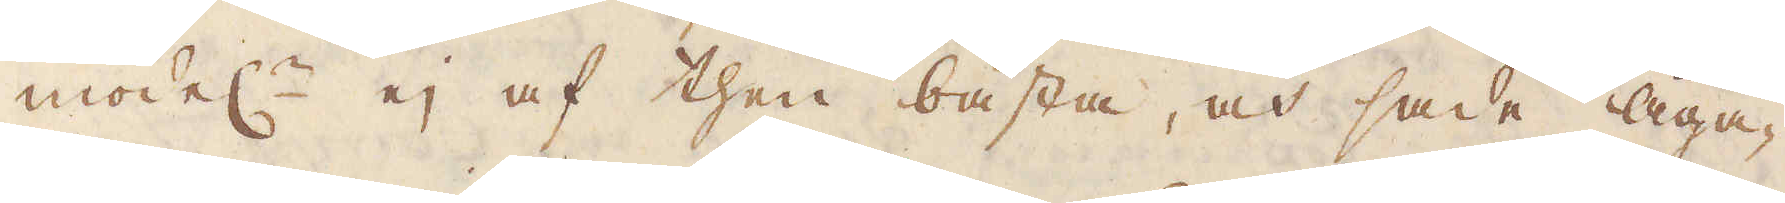model:n ej af then bästa, och sade Äga-
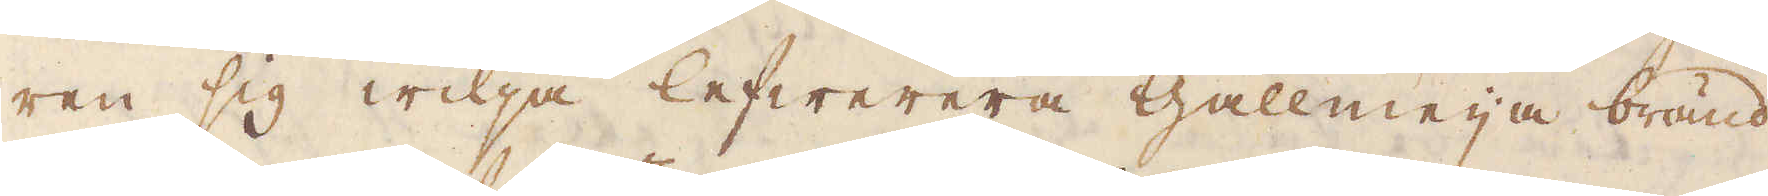ren sig wilja lefwerera Gallmeija bränd
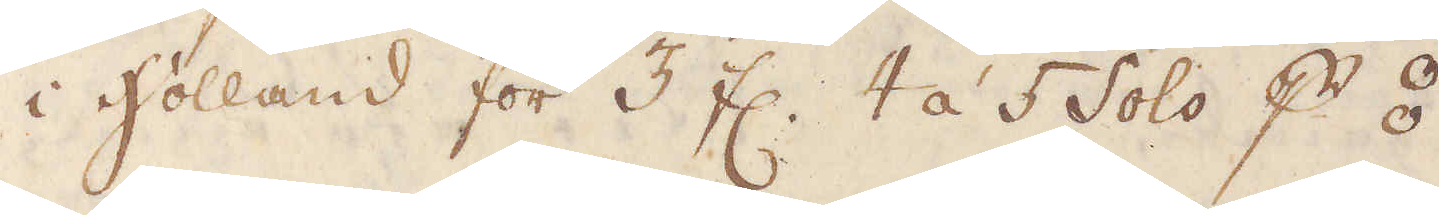i Holland för 3 fl. 4 á 5 sols p ⦂.
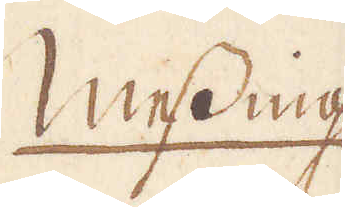Messing
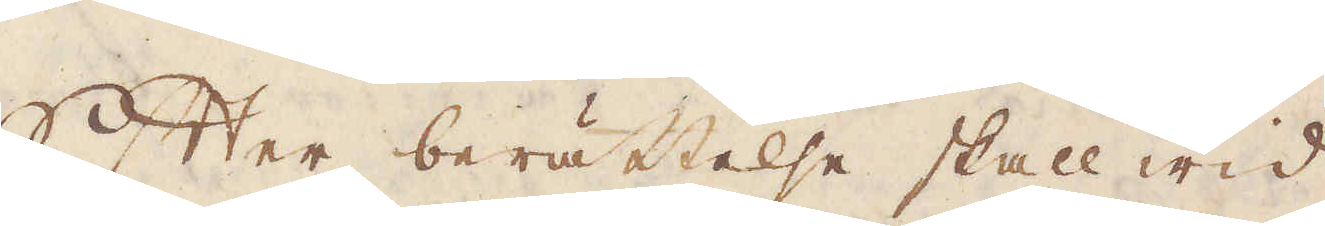Efter berättelse skall wid
